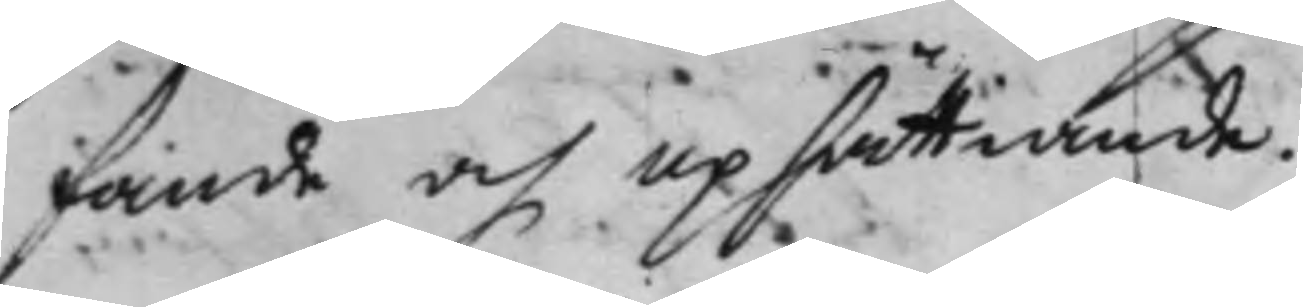fande och upsättande.
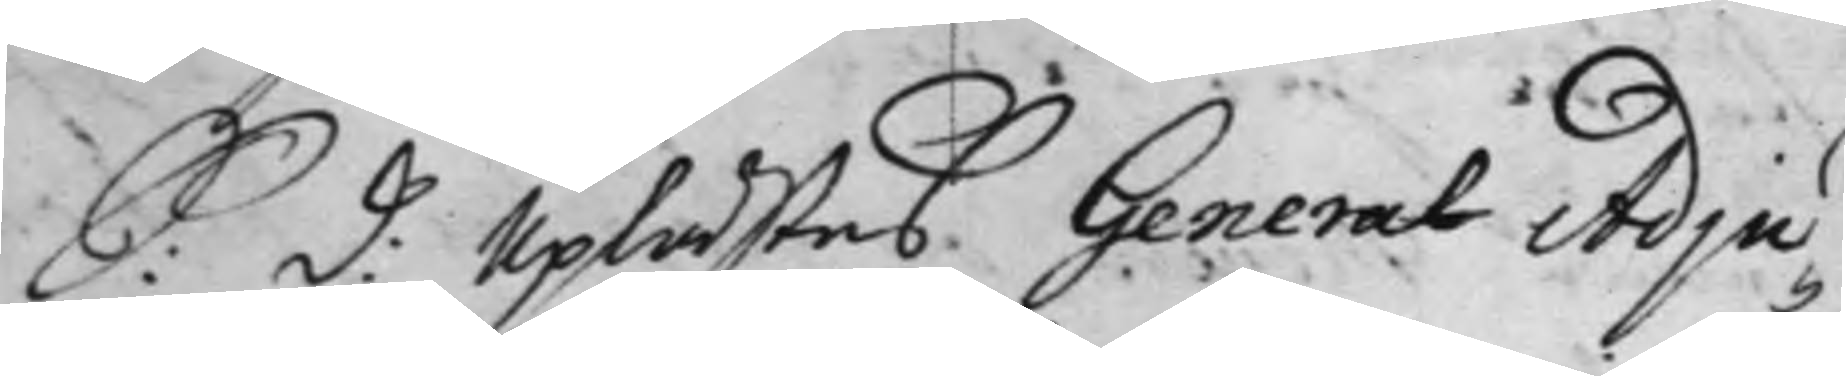S: d: Uplästes General Adju¬
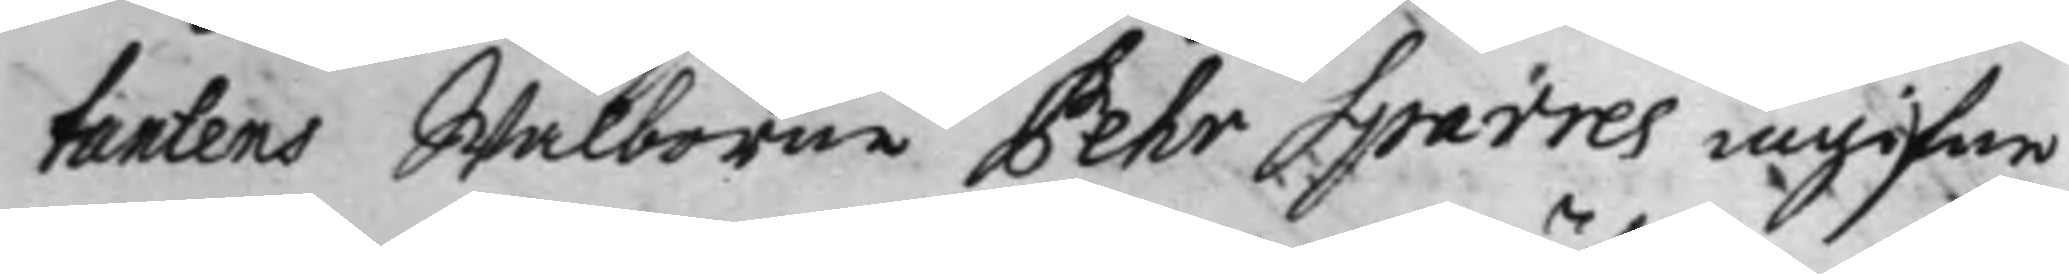tantens Wälborne Pehr Sparres ingifne
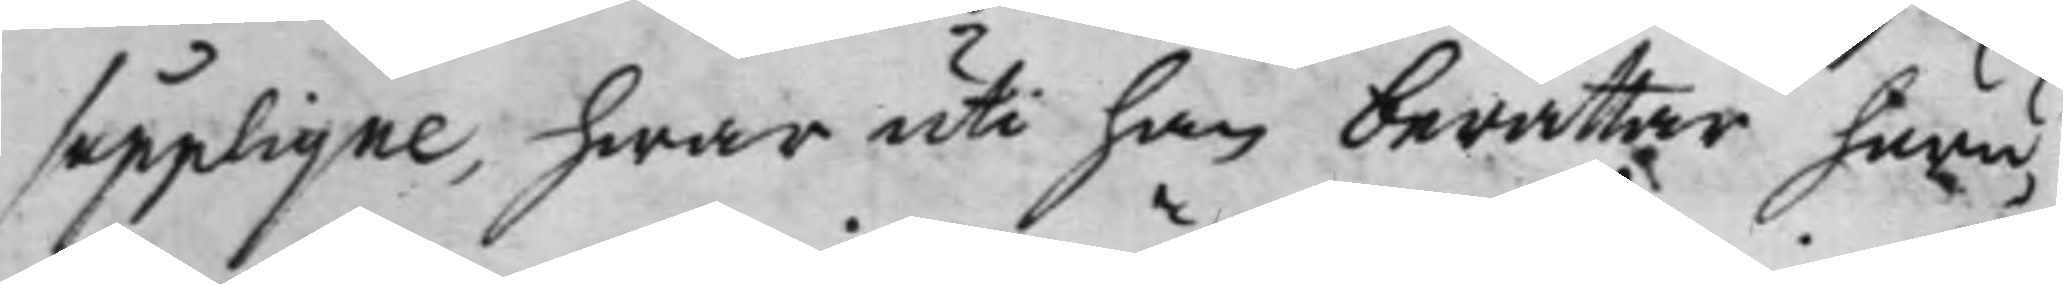supplique, hwar uti han berättar huru¬
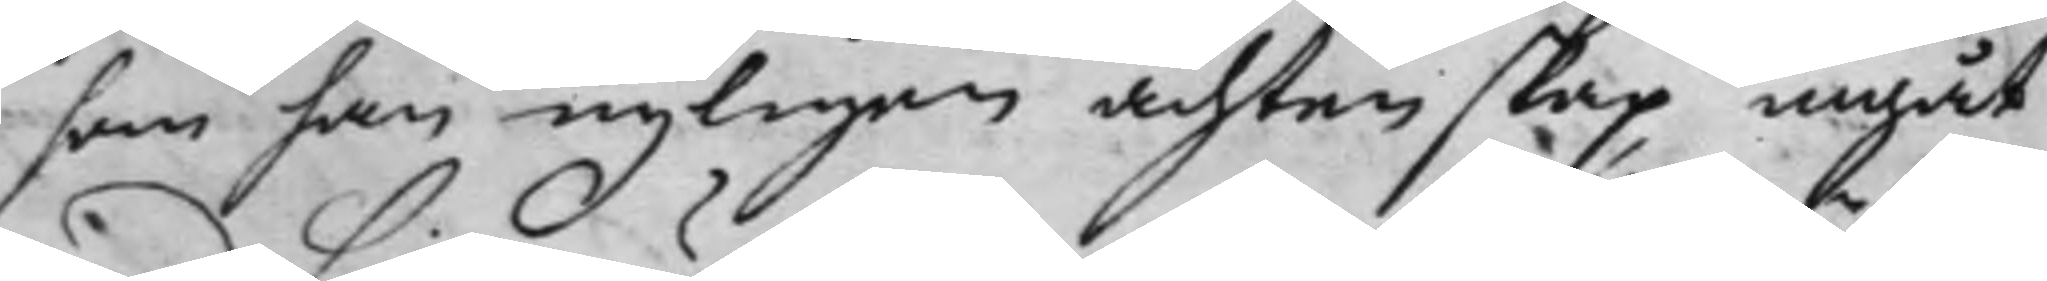som han nyligen ächtenskap ingåt
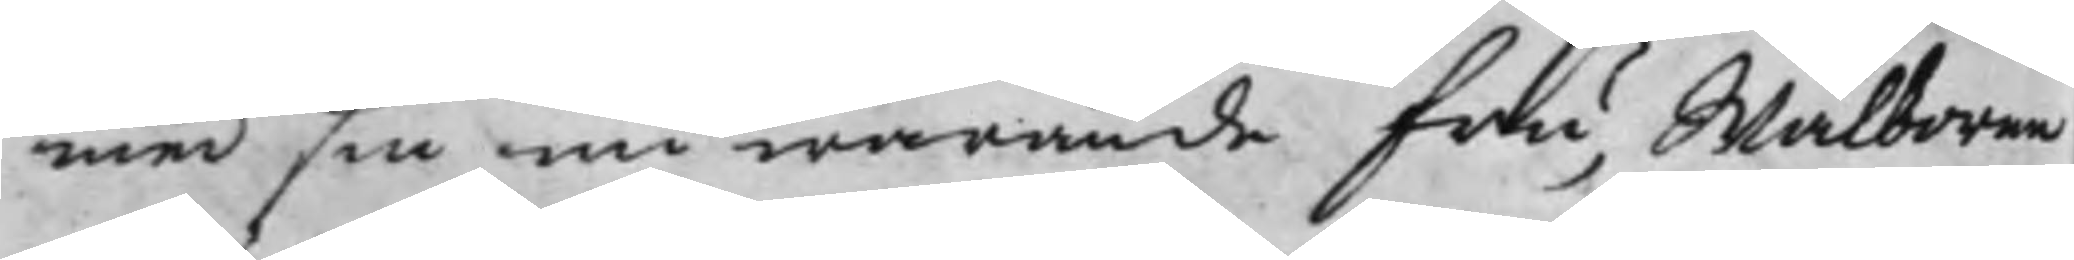med sin nu warande fru, Wälborne
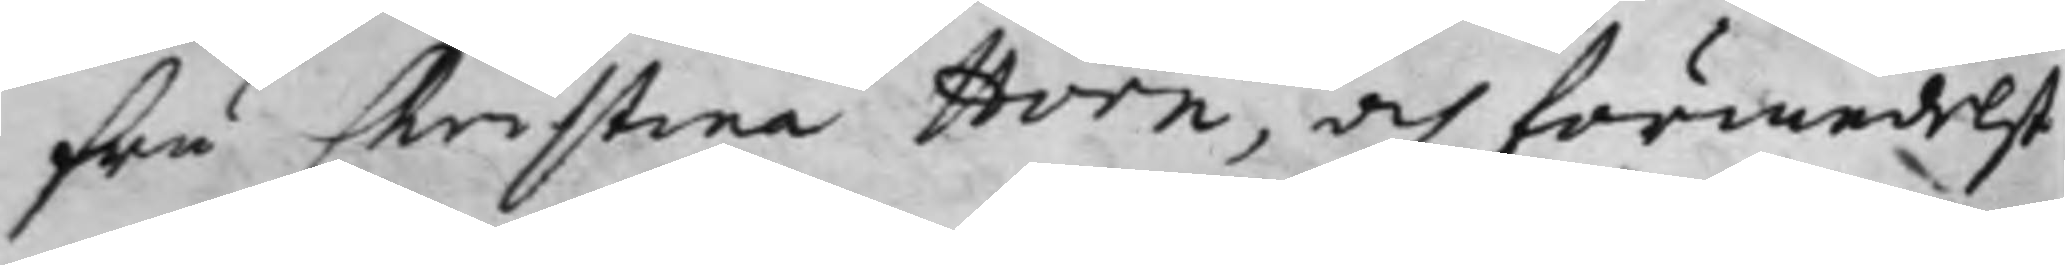fru Christina Horn, och förmedelst
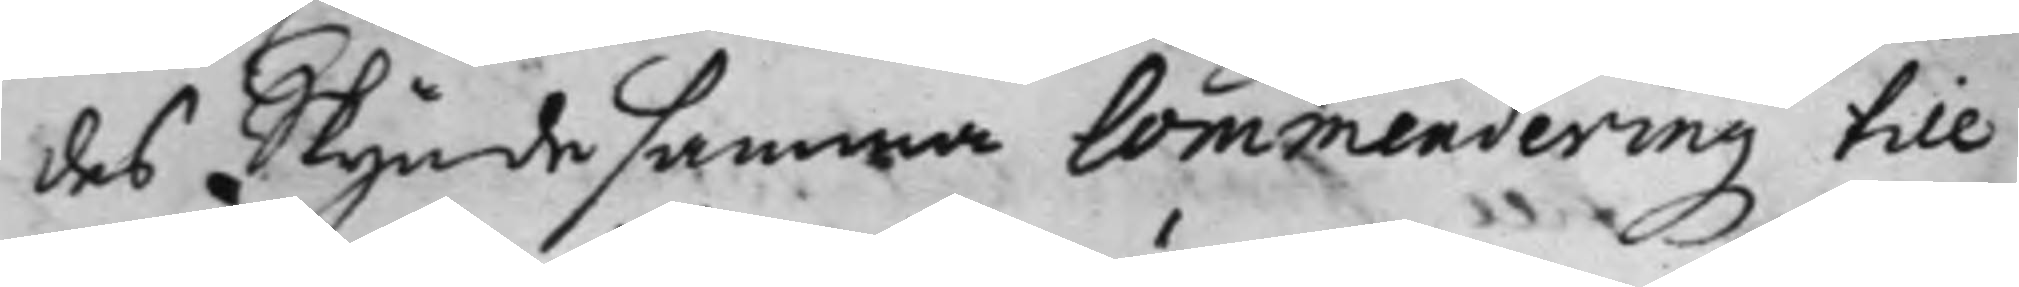des Skyndesamma Commendering till
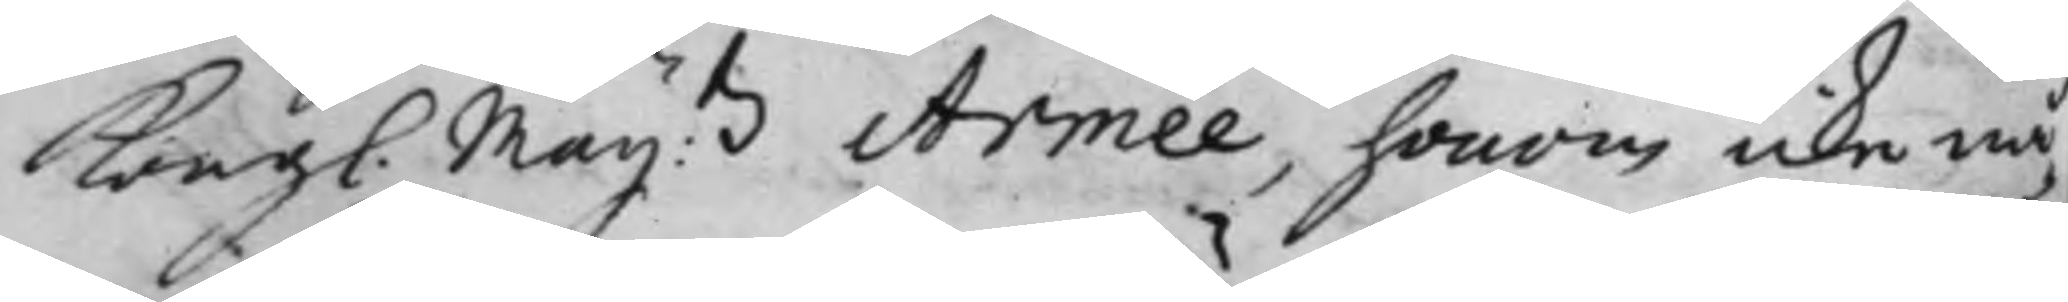Kongl. Maij:tz Armée, honom icke nå¬
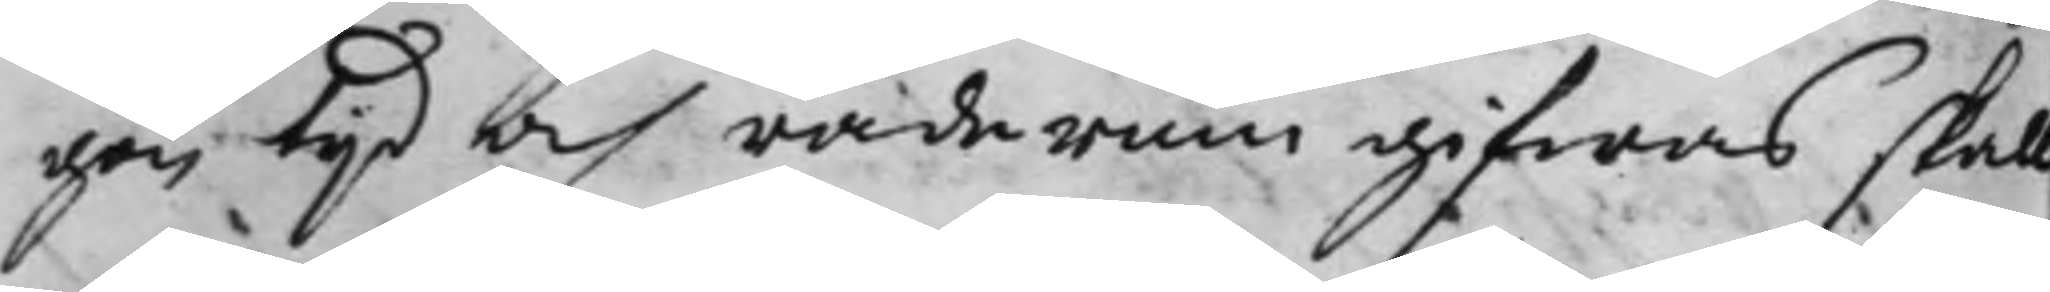gon tijd och raderum gifwas skall
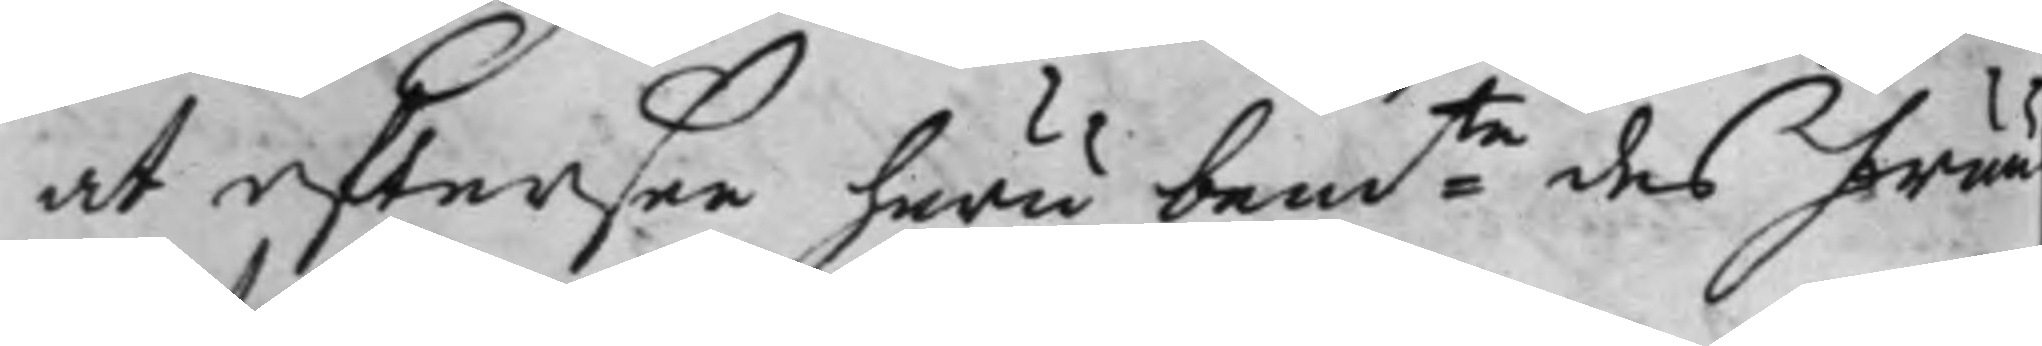at eftersee huru bemte des fruu
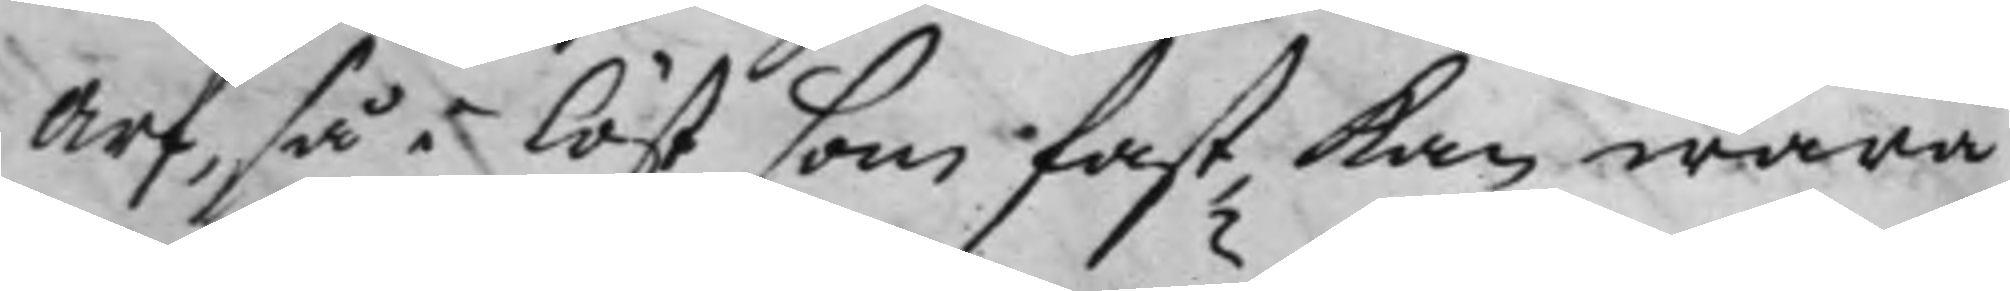Arf, så i löst som fast, kan wara
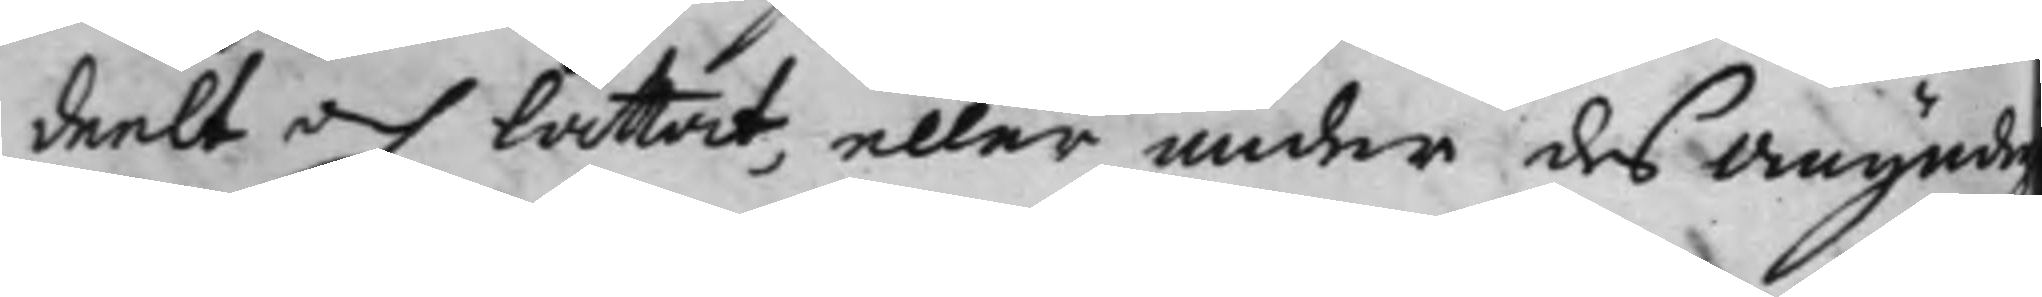deelt och låttat, eller under des omynd
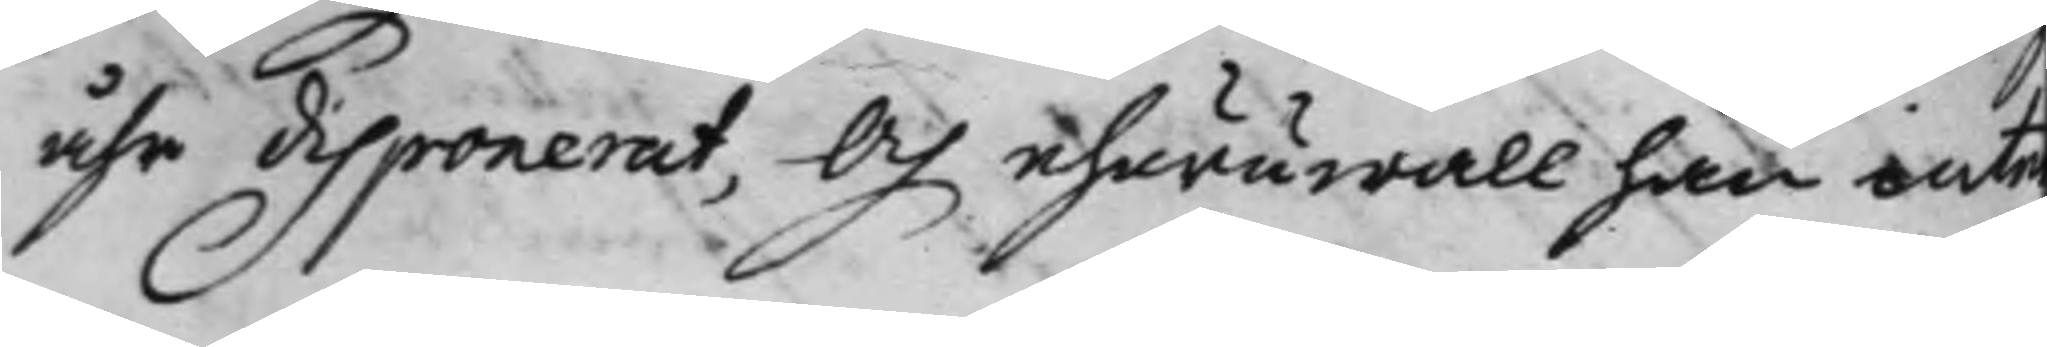åhr disponerat, Och ehuruwall han inte
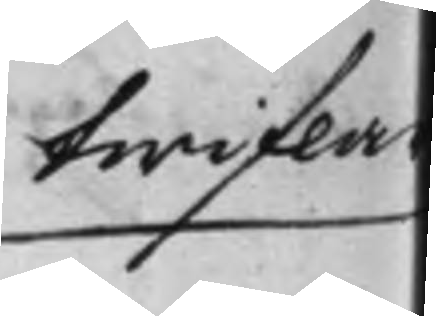twiflar
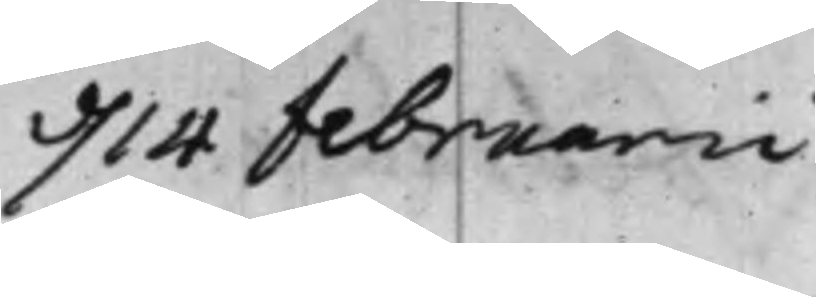d. 14 februarii
